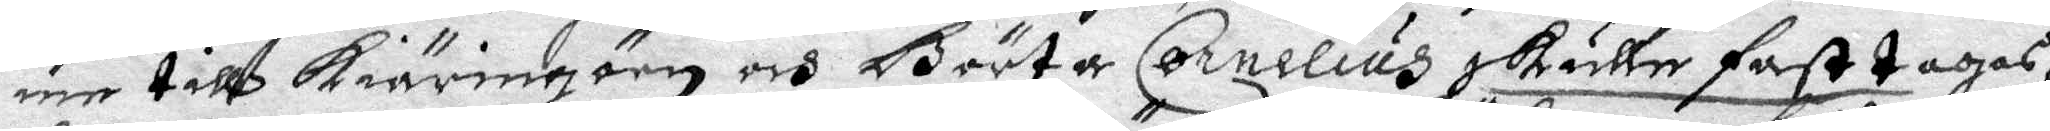me till Kiäringöen och Börta Cornelius skuller fasttagas,
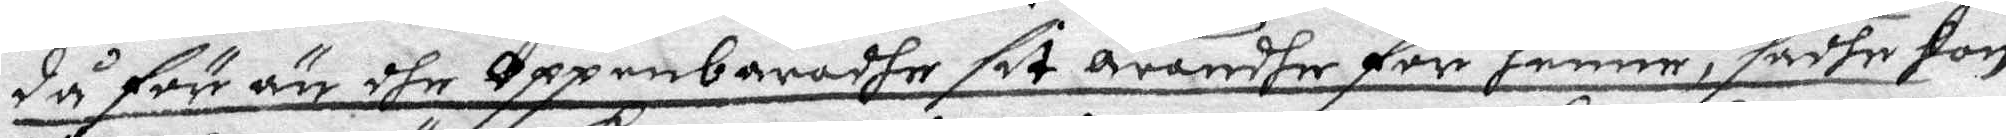då förr än dhe Oppenbaradhe sit ärendhe för henne, sadhe hon
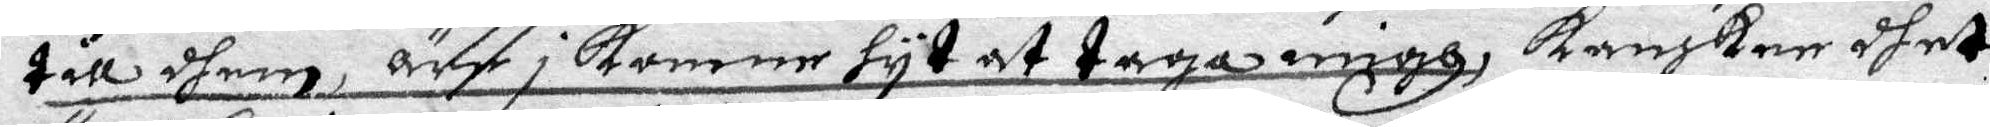til dhem,äre i komne hyt at taga migh, kanskee dhet
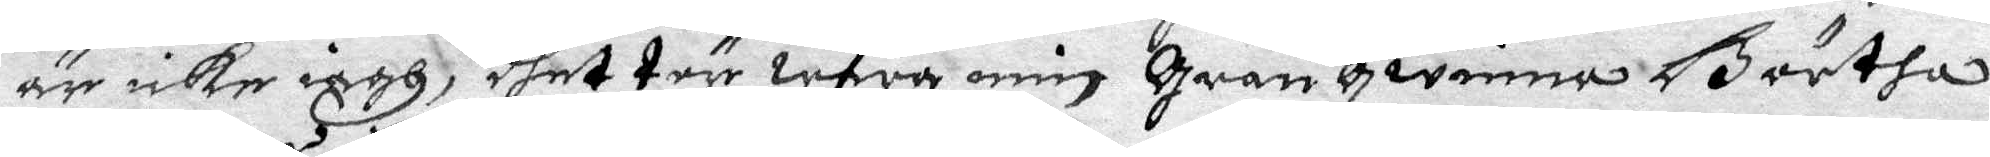äre icke iagh, dhet tär wara min Granqwinna så ortha
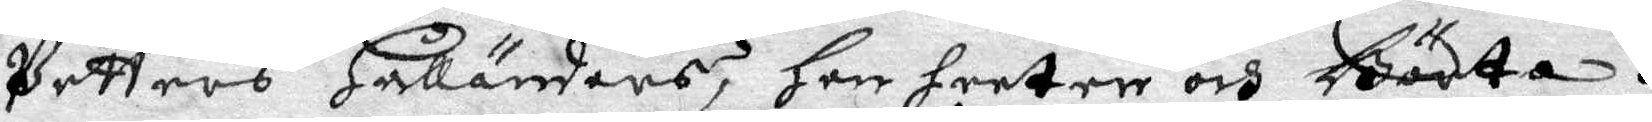Petters Halländers, hon heeter och Börtha.
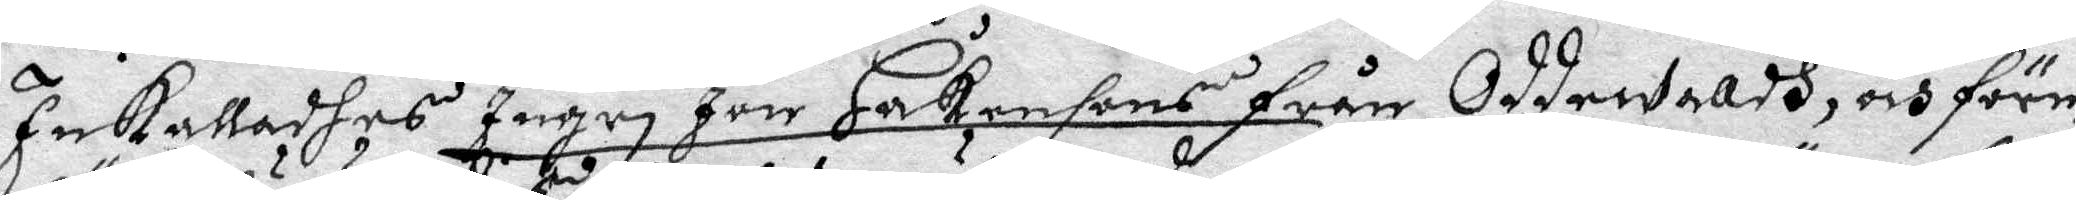Inkalladhes Ingri Jon Håkansons från Oddewaldh, och före¬
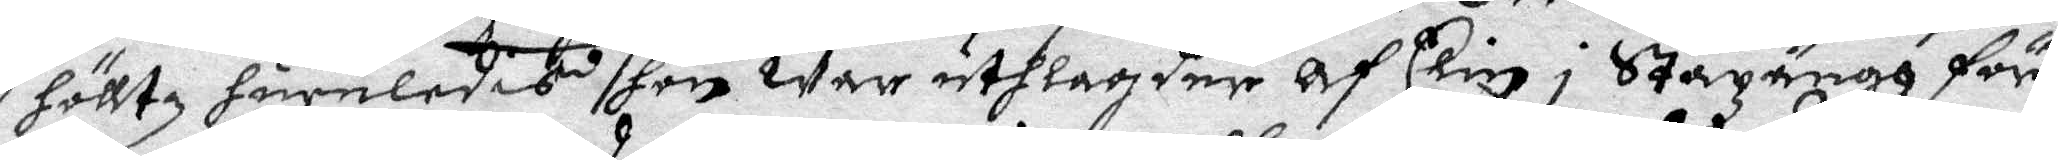hölltz huruledas hon war uthlander ah Elin i Stazängh för
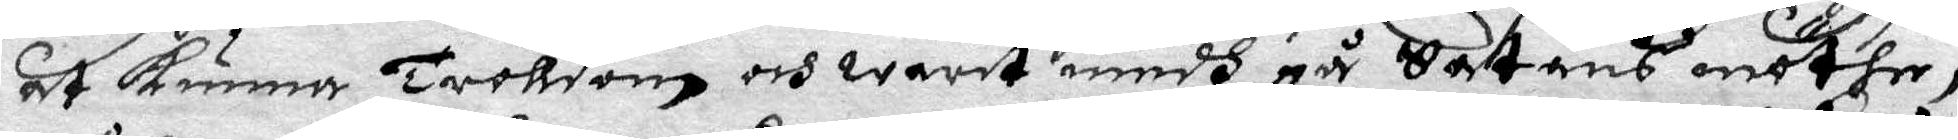at kunna Trolldom och warit medh på Satans möthe,
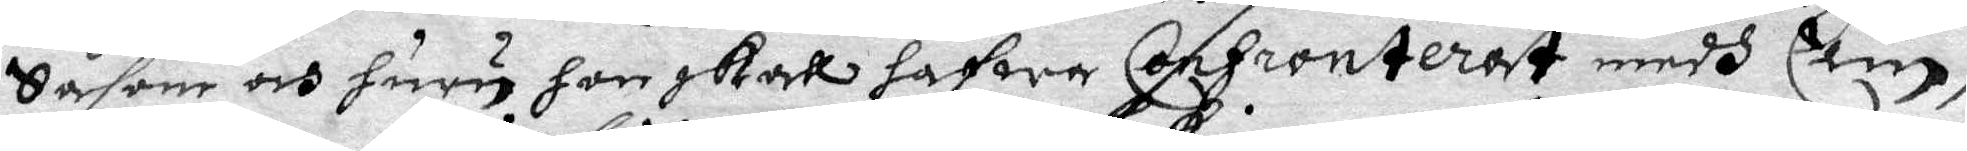Såsom och huru hon skall hafwa Confronterat medh Elin,
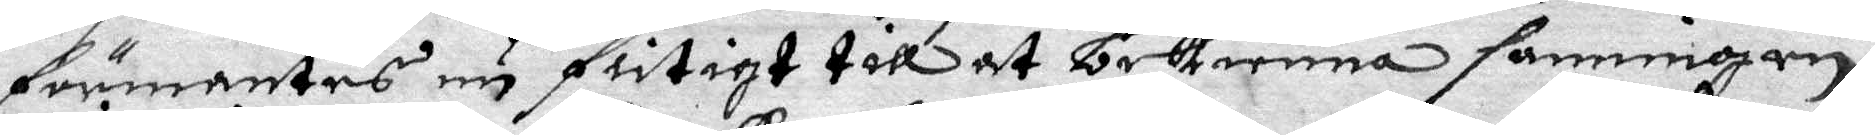förmantes nu flitigt till at bekienna sanningen.
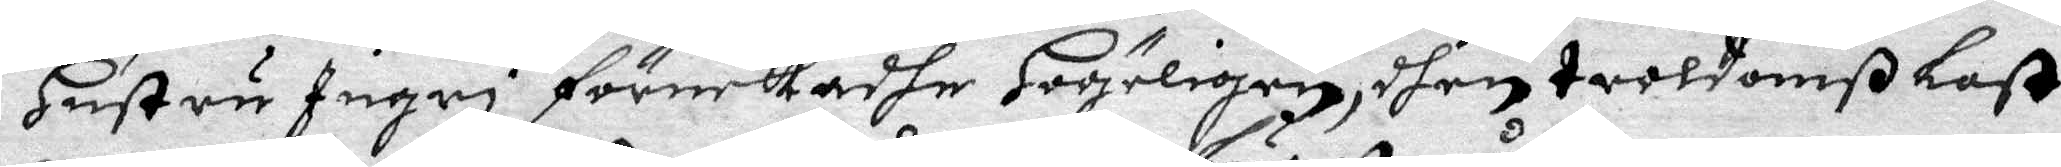Hustru Ingri förnekadhe högeligen, dhen troldomß Last
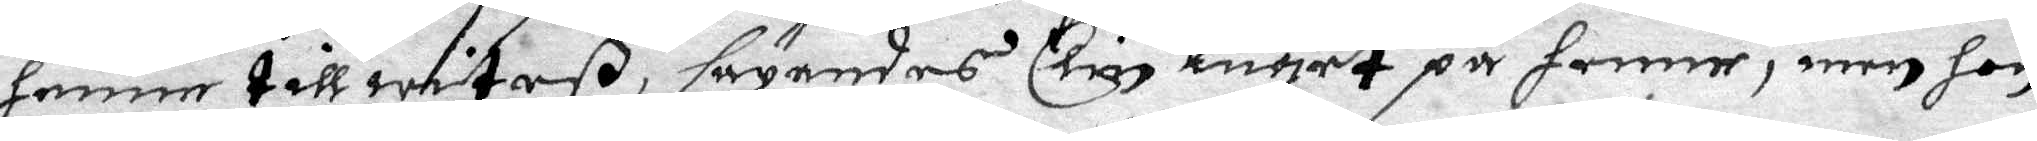henne till witeß, säyandes Elin luget på henne, men hon
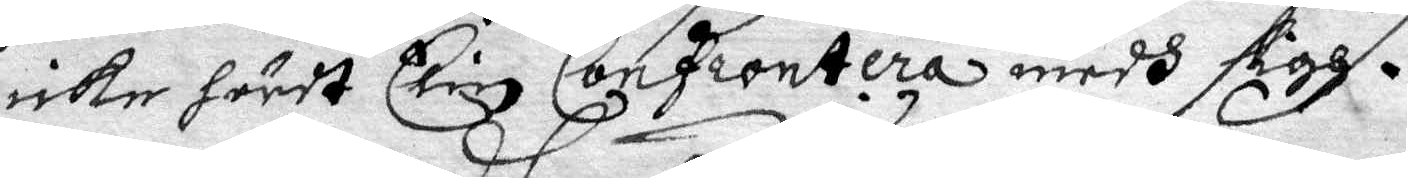icke hördt Eliz Confrontera medh sigh.
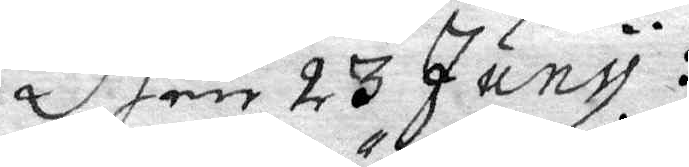Dhen 23 Juny:
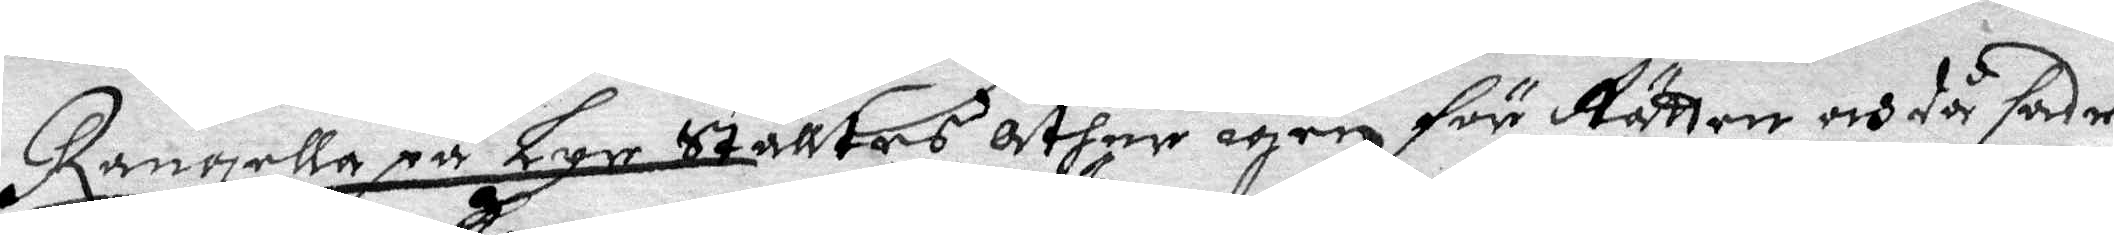Rangella på Lyr Stältes åther igen för Rätten och då sade
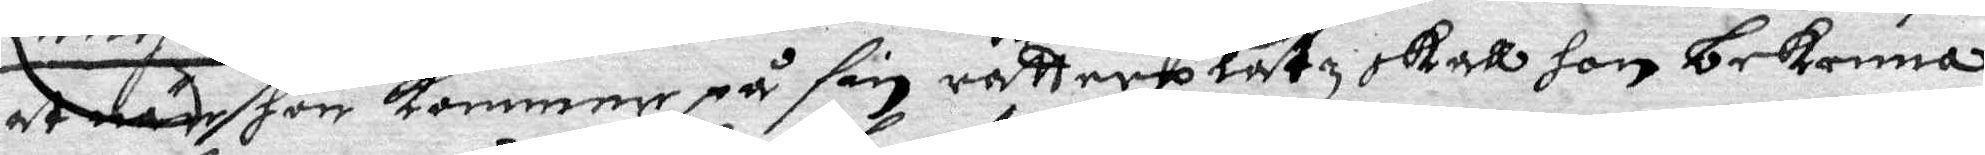 at nät hon kommer på sin rätterplatz skall hon bekenna
